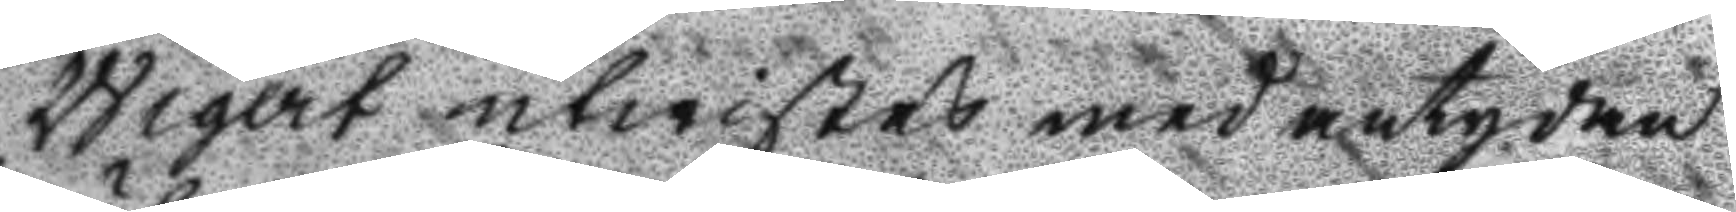Wigert utwistes med antydan
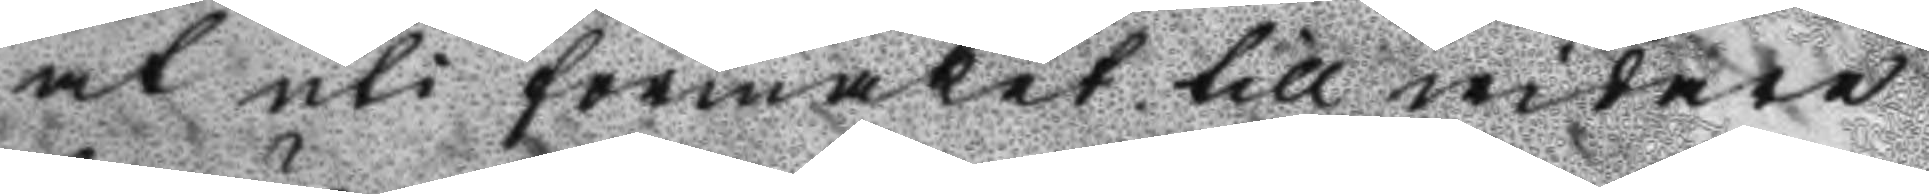at uti förmaket till widare
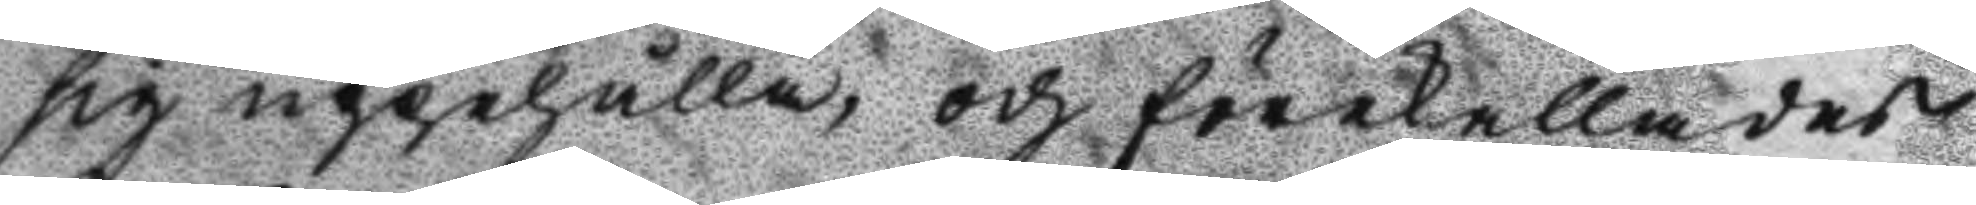sig uppehålla, och förekallades
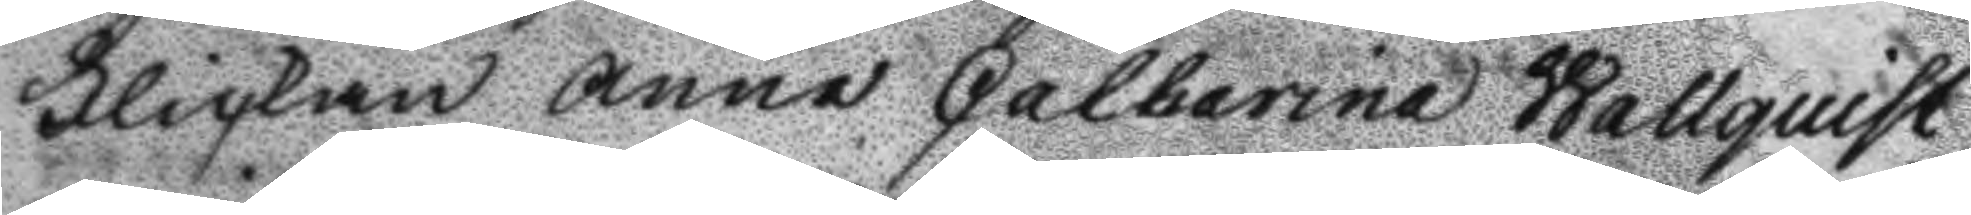Flickan Anna Catharina Wallquist
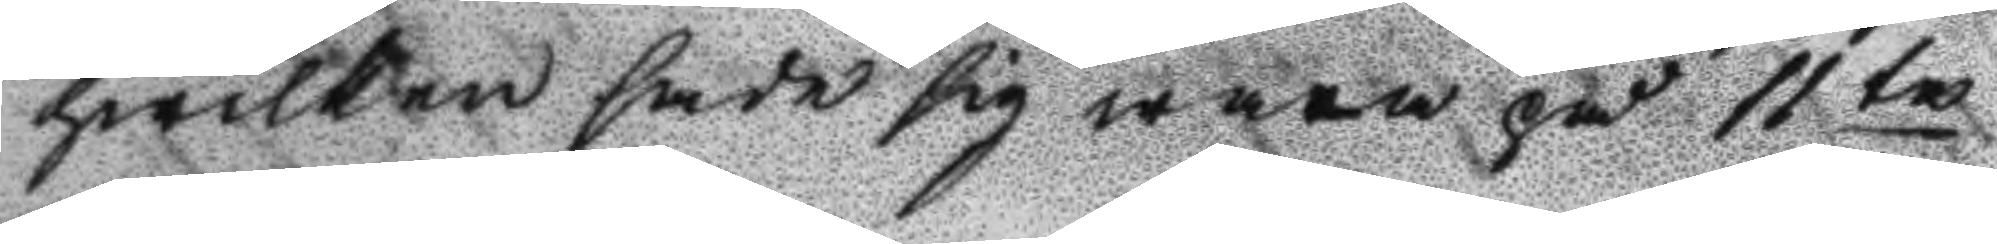hwilken sade sig wara på 11te
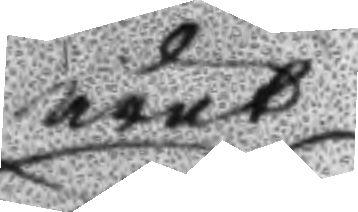året
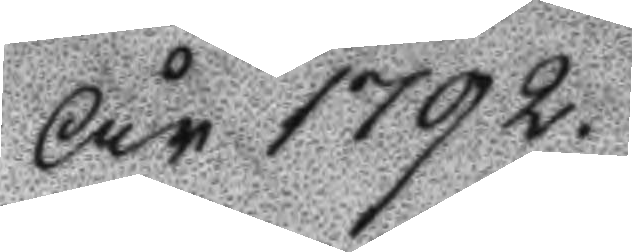År 1792.
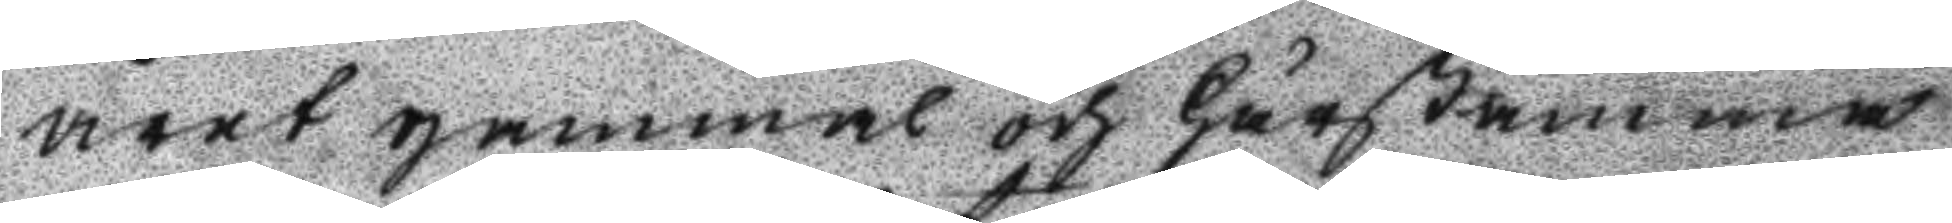året gammal och Härstamma
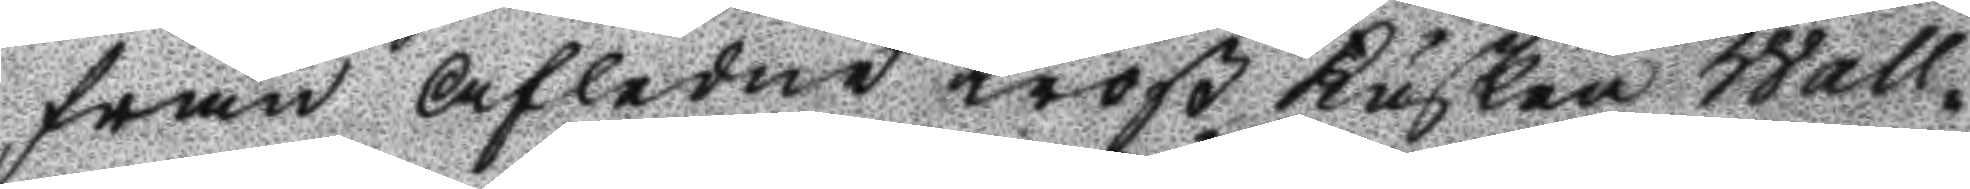från Afledne troß Kusken Wall¬
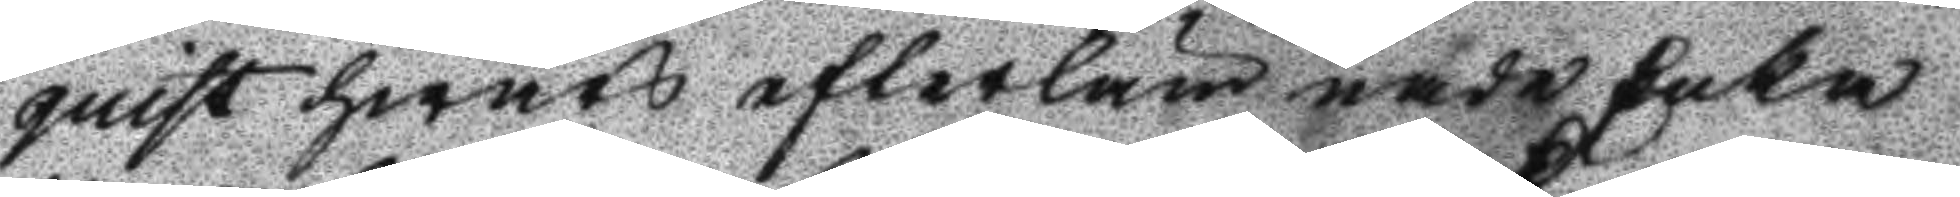quist hwars efterlämnade Enka
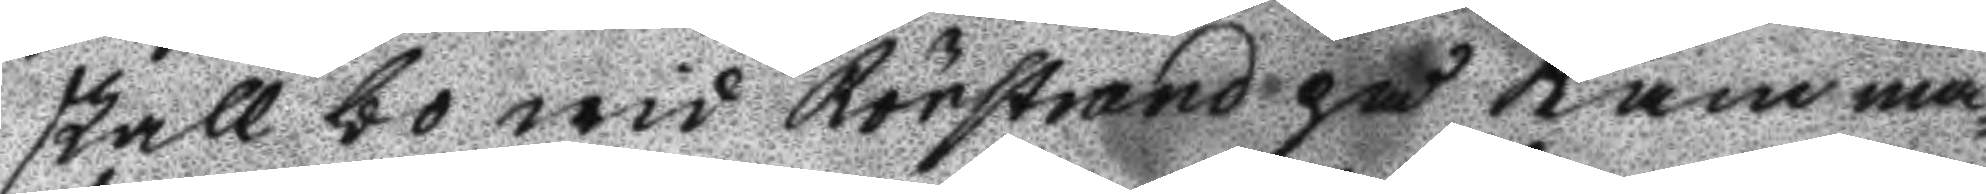skall bo wid Rörstrand på Kamma¬
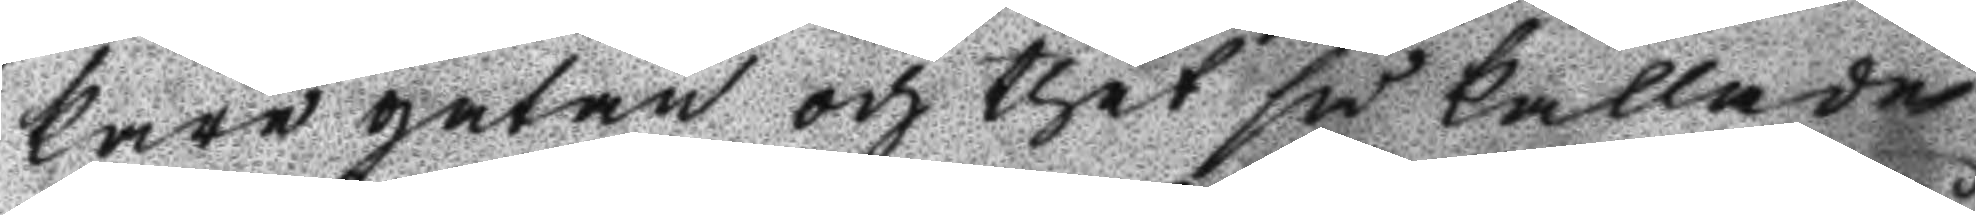kare gatan och thet så kallade
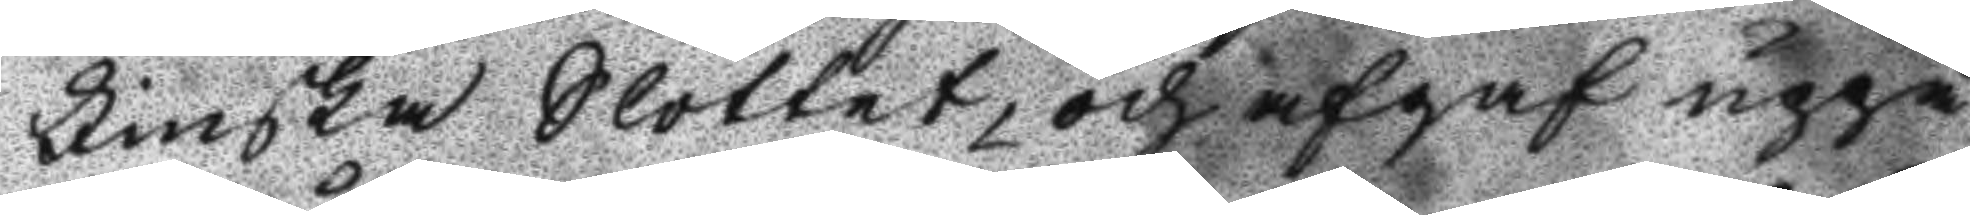Finska Slottet, och afgaf uppå
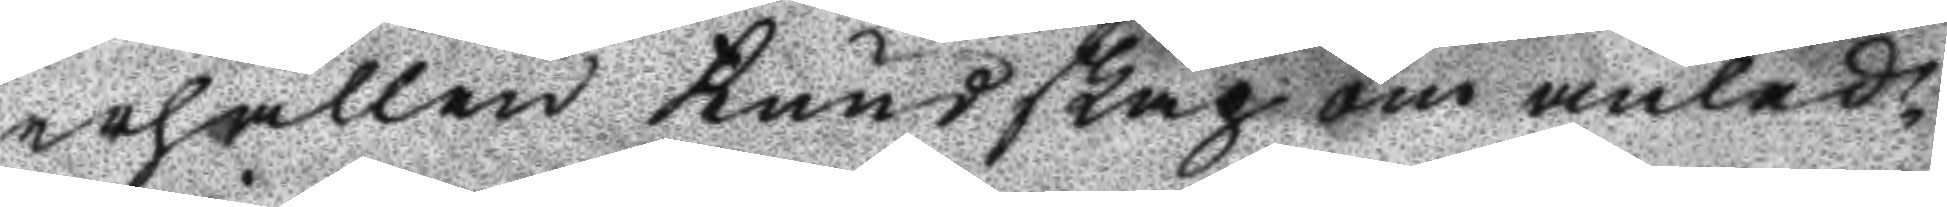erhållen Kundskap om anled¬
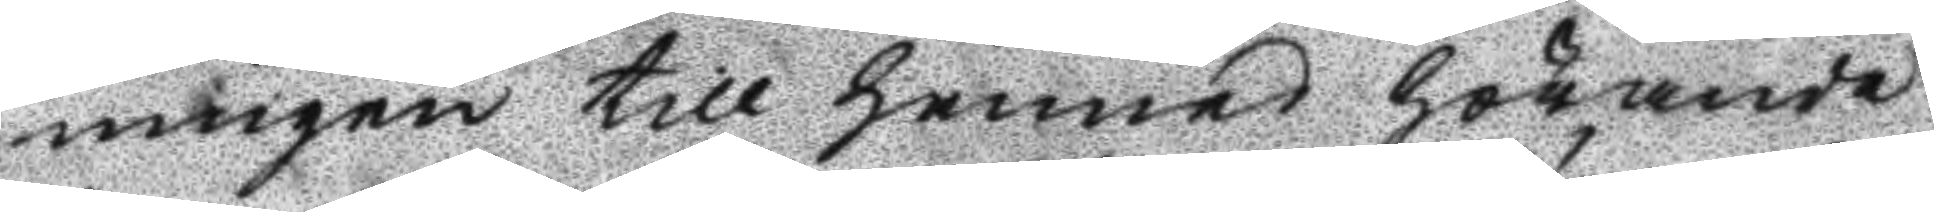ningen till hennes hörande
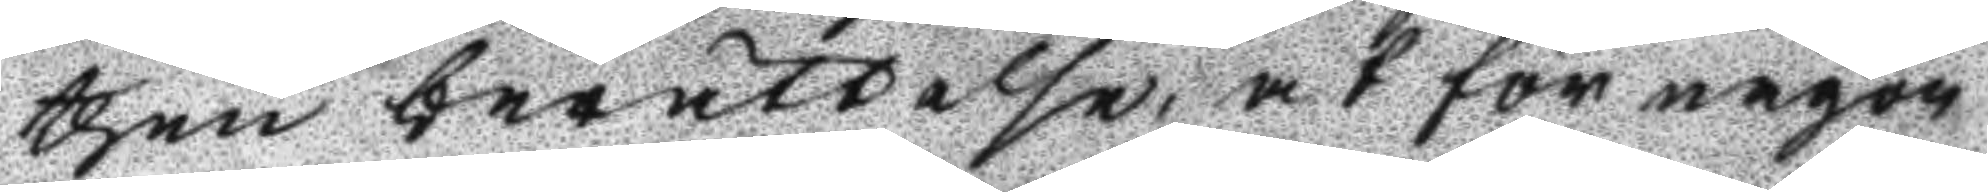then berättelse, at för någon
